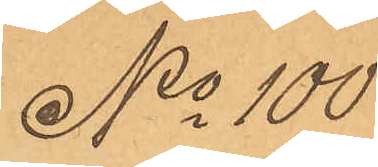No 100
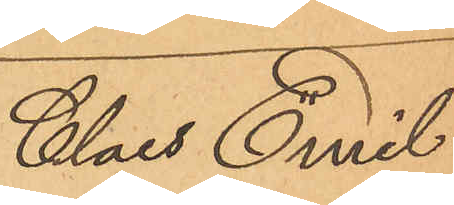Claes Emil
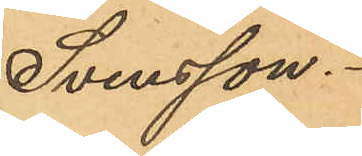Svensson.
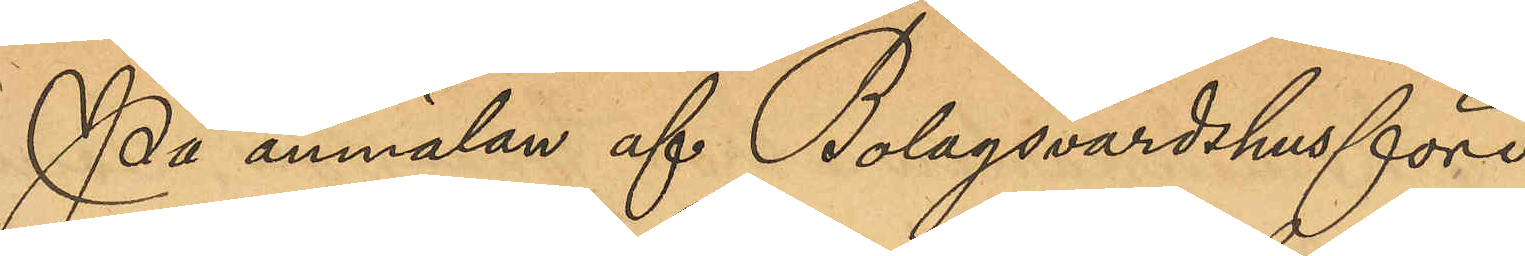På anmälan af Bolagsvärdshusföre¬
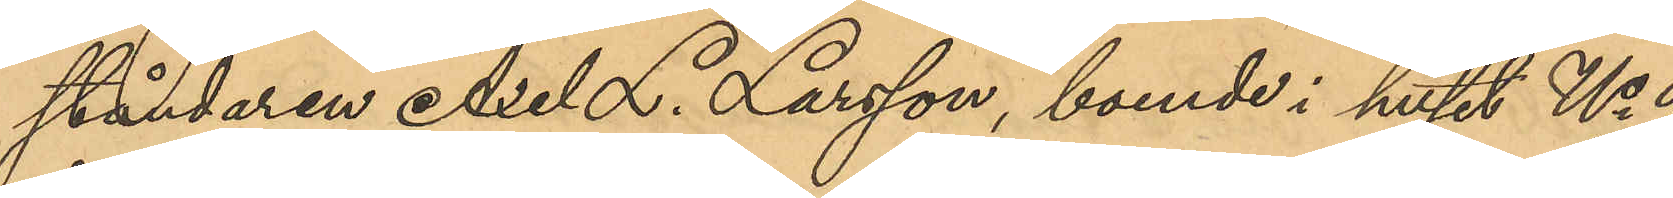ståndaren Axel Larsson, boende i huset No 9
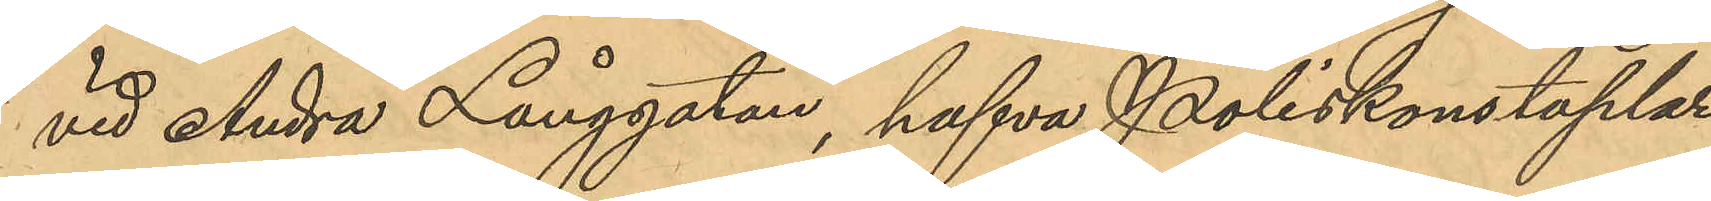vid Andra Långgatan, hafva Poliskonstaplar¬
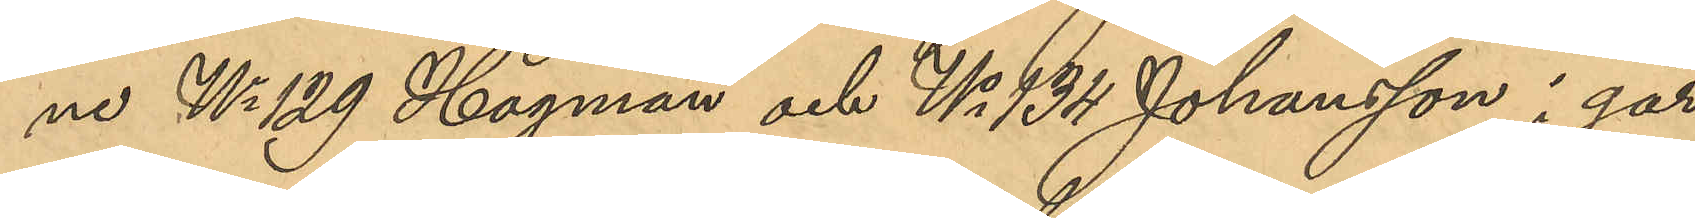ne No 129 Hagman och No 134 Johansson i går
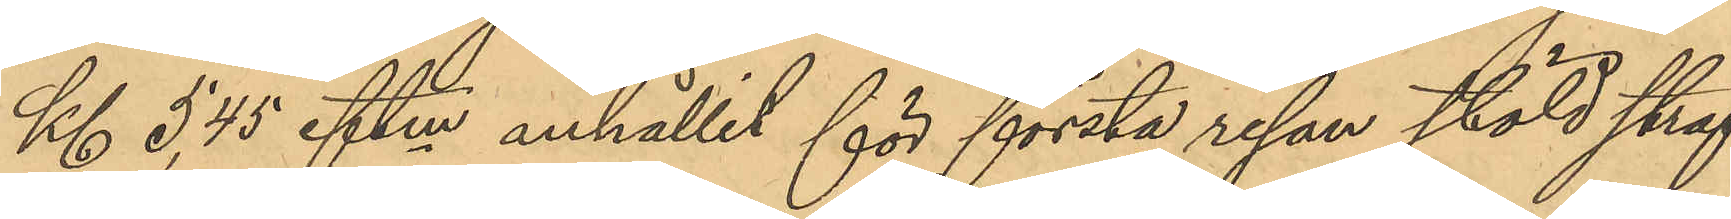Kl 5,45 eftm anhållit för första resan stöld straf¬
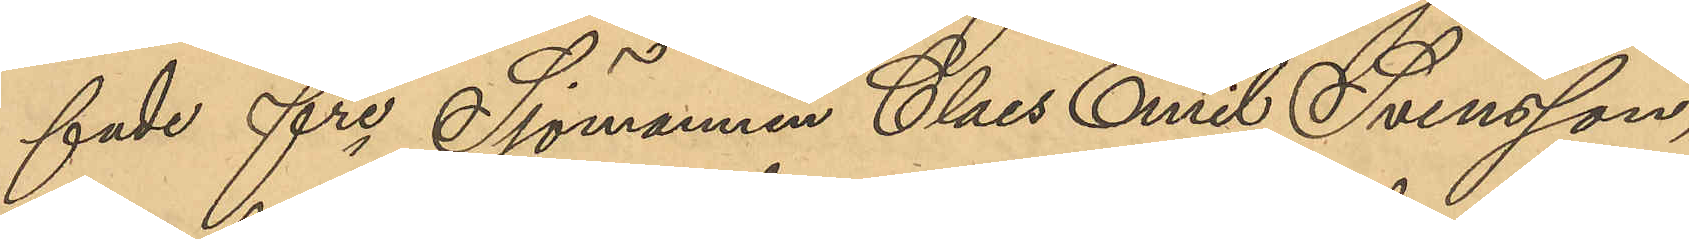fade fre Sjömannen Claes Emil Svensson,
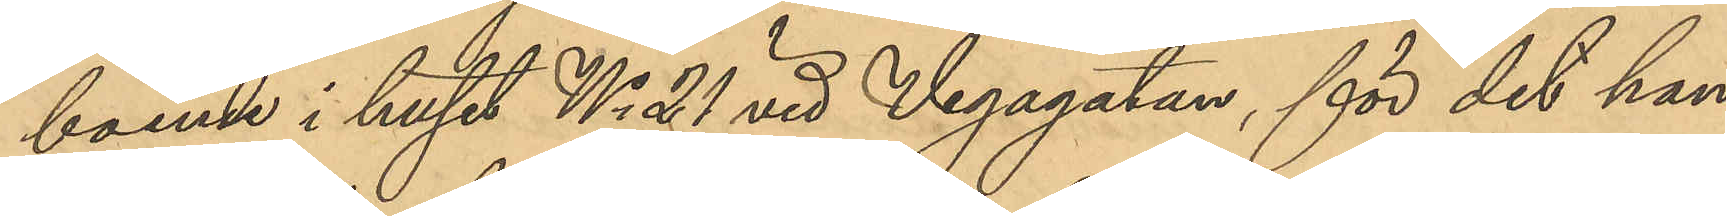boende i huset No 21 vid Vegagatan, för det han
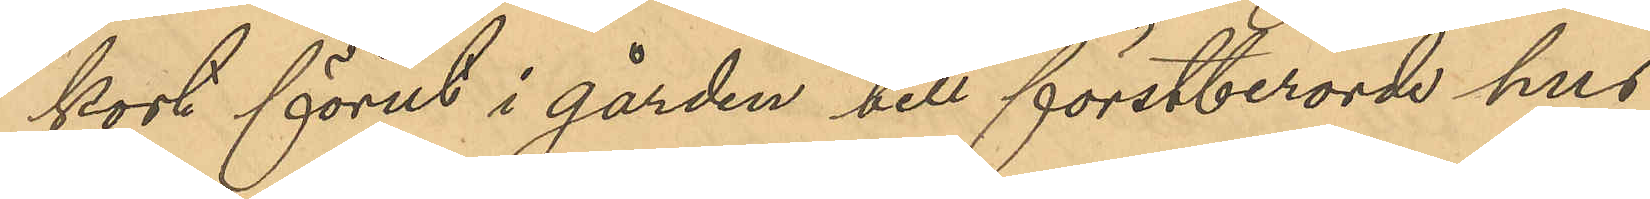kort förut i gården till förstberörde hus
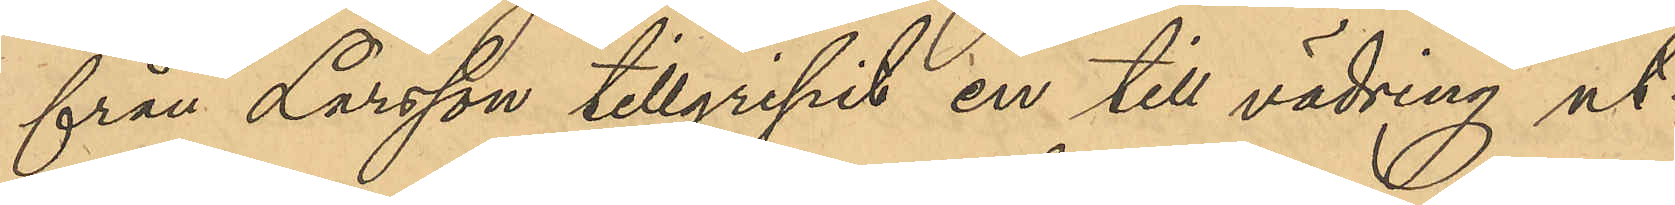från Larsson tillgripit en till vädring ut¬
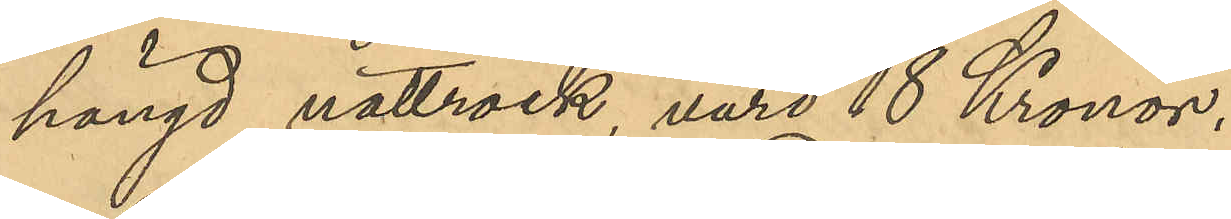hängd nattrock, värd 18 Kronor.
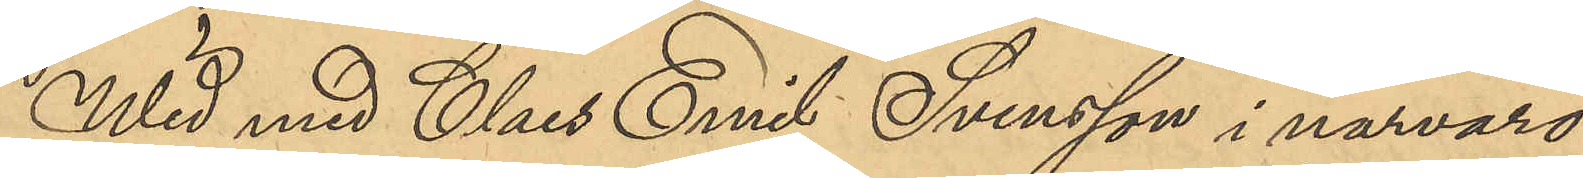Wid med Claes Emil Svensson i närvaro
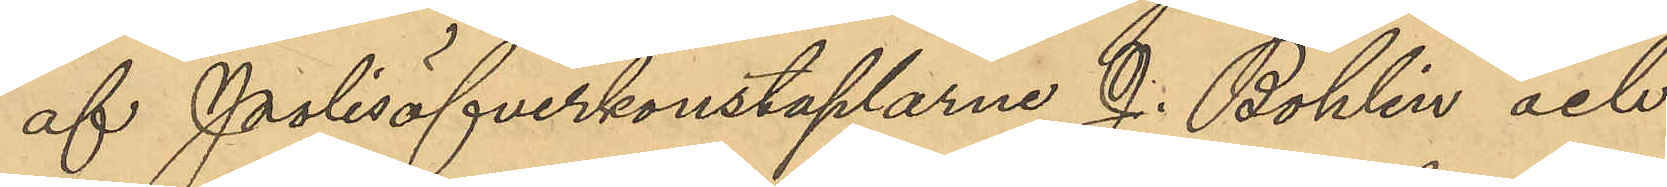af Polisöfverkonstaplarne J. Bohlin och
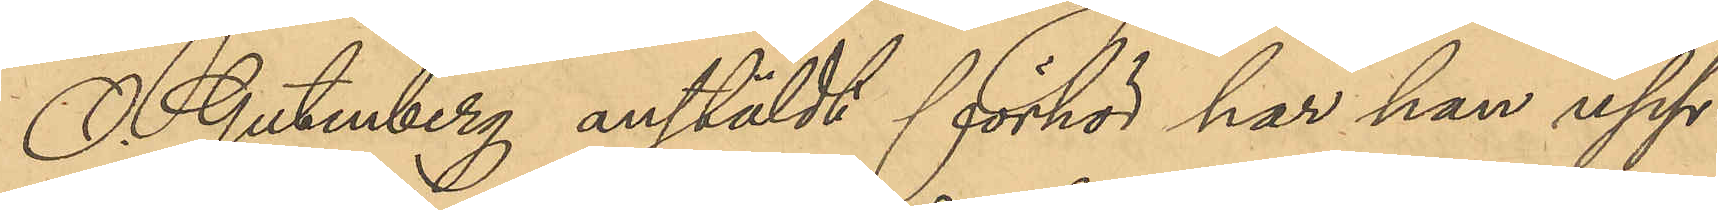O. Gutenberg anstäldt förhör har han upp¬
